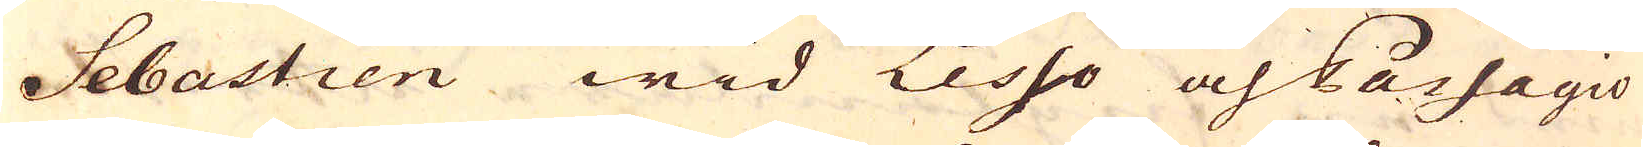Sebastien wid Lesso och Passagio
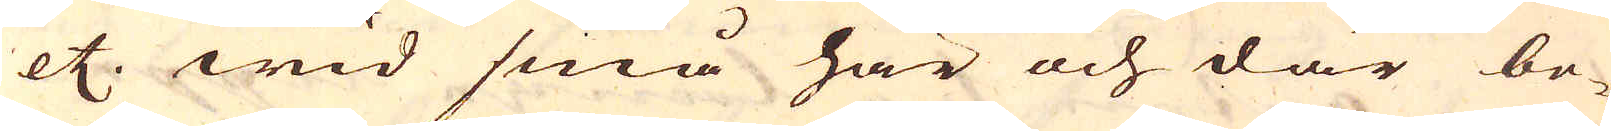etc. wid små här och där be-
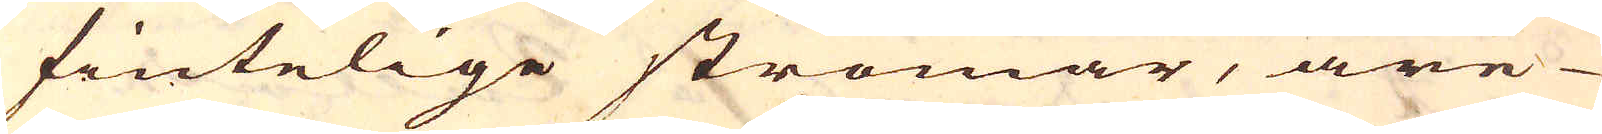fintelige strömar, äre
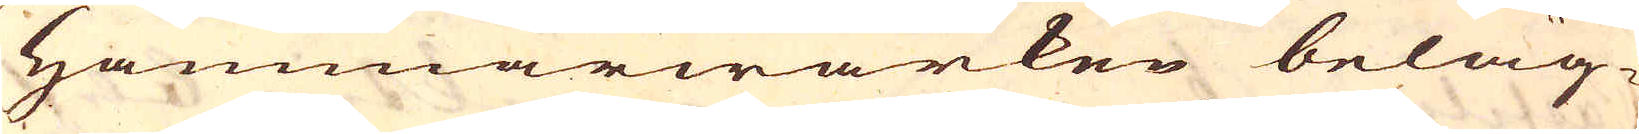Hammarwärken beläg-
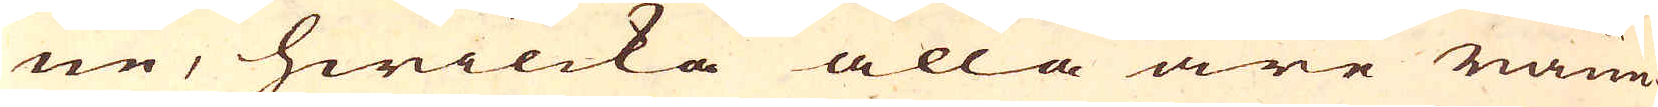ne, hwilcka alla äre ränn-
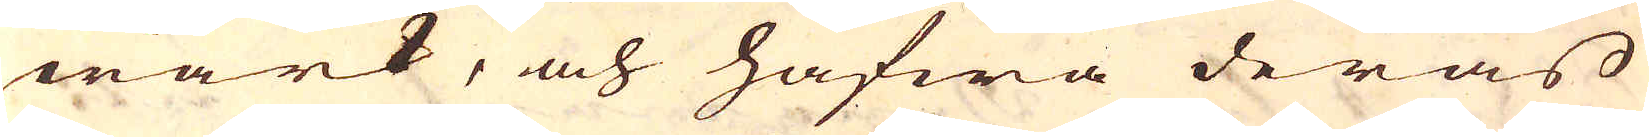wärk, och hafwa deras
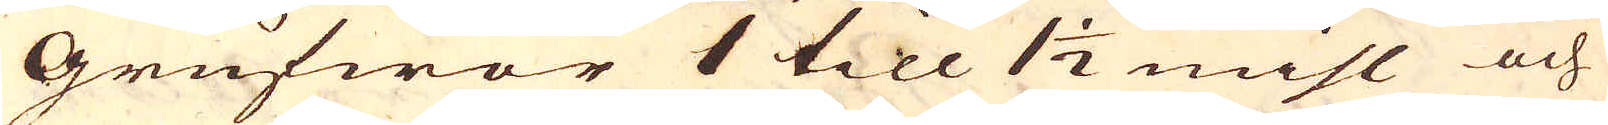Grufwor 1 till 1 1/2 mihl och
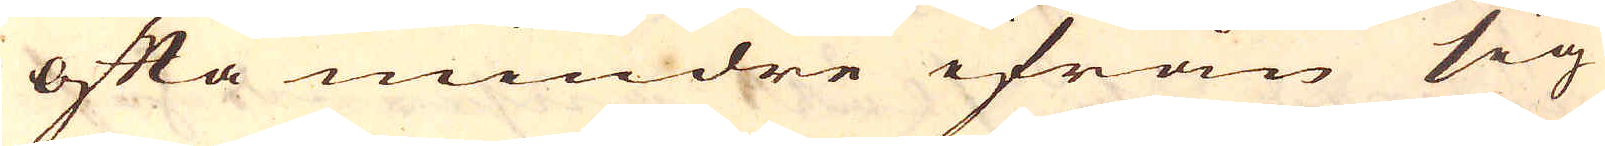ofta mindre ifrån sig
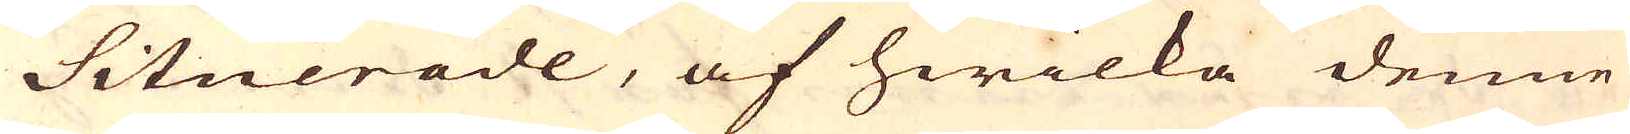Situerade, af hwilka denne
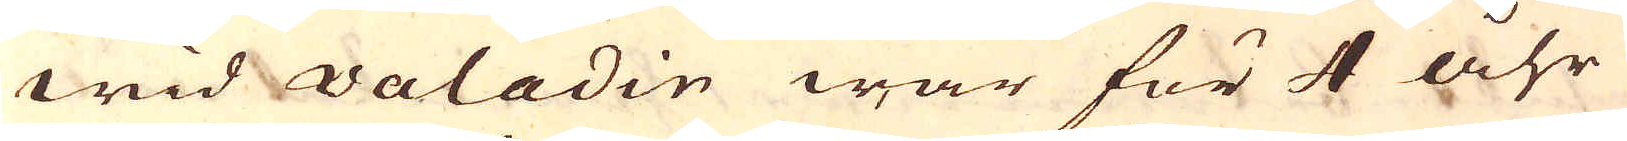wid Valadin war för 4 åhr
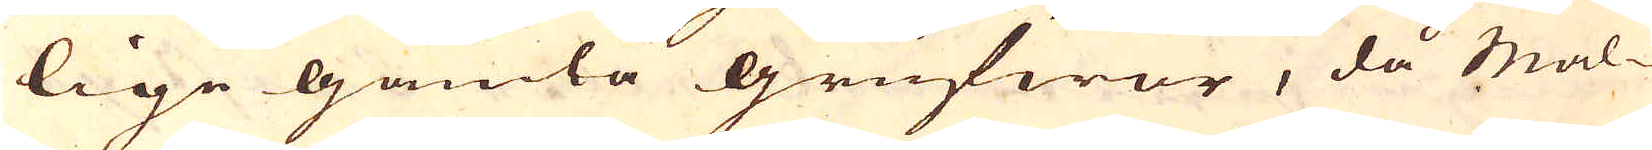lige gamla grufwor, då Mal-
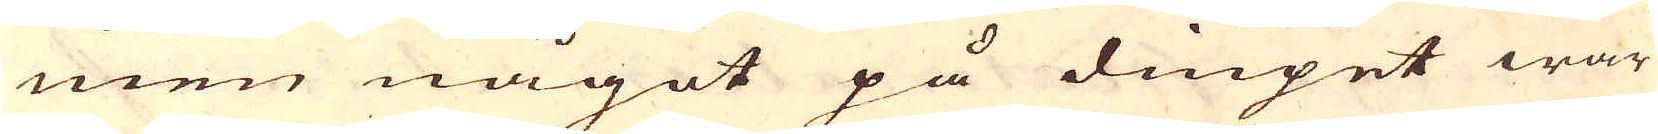men något på diupet war
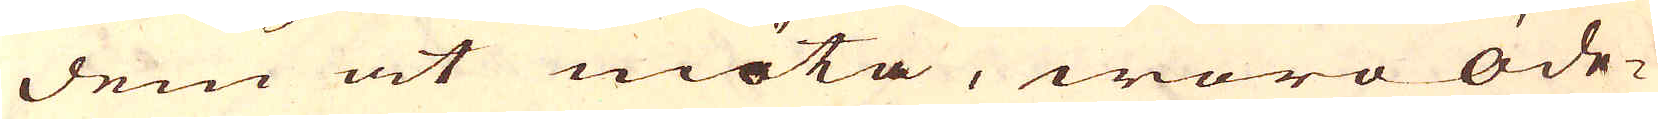dem at möta, woro öde-
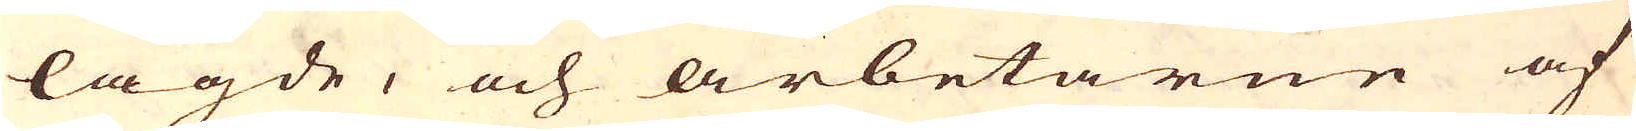lagde, och arbetarne af
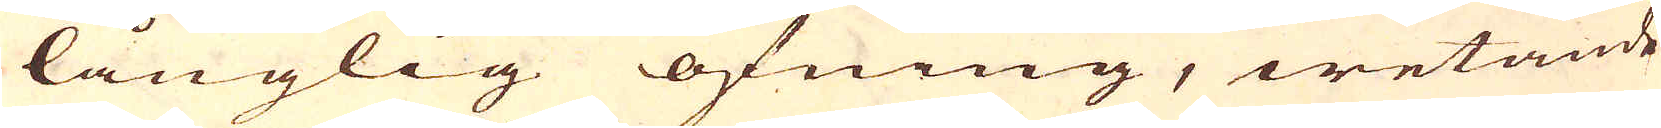långlig öfning, wetande
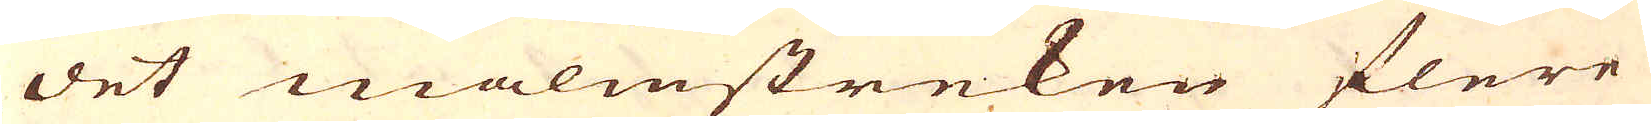det malmstreken flere
